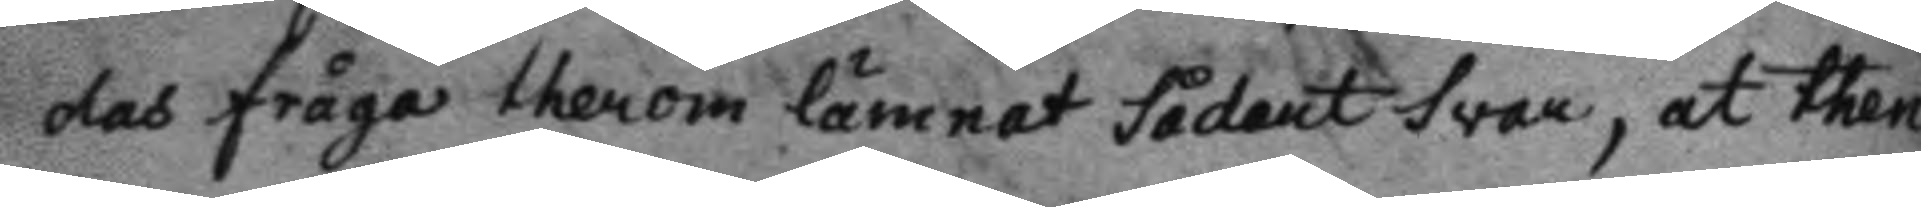das fråga therom lämnat sådant svar, at then
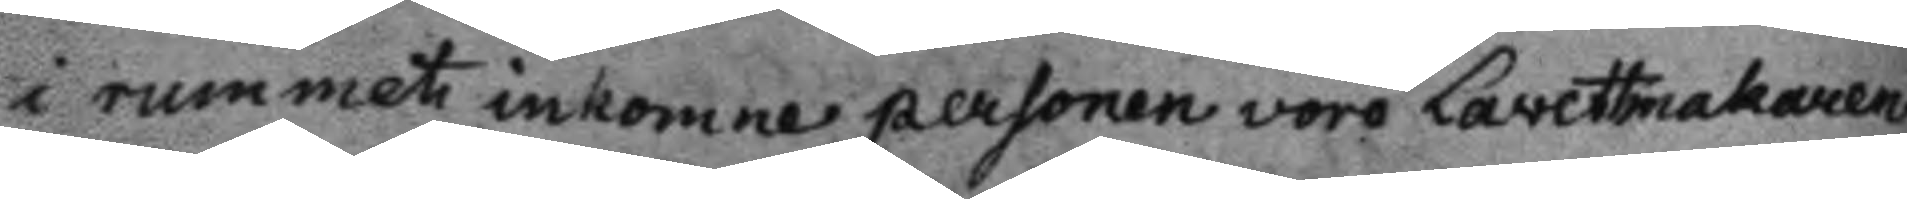i tummet inkomne personen voro Lavettmakaren
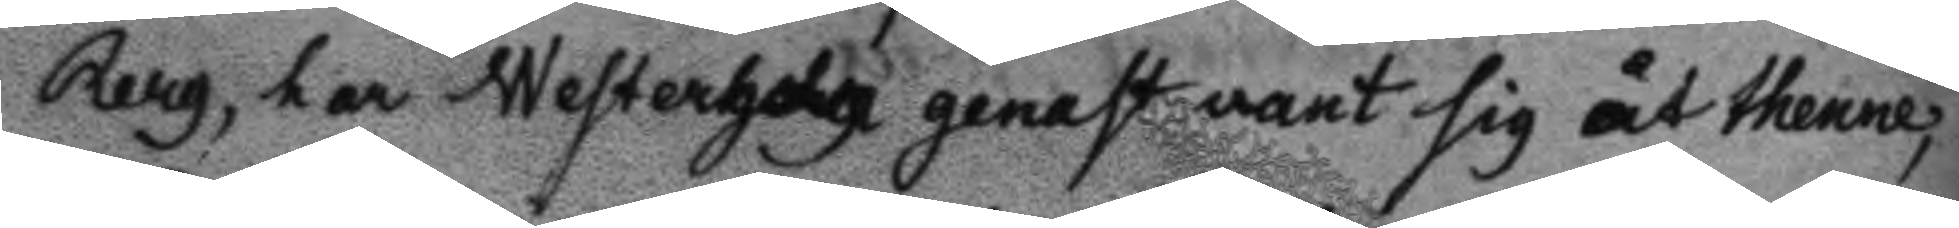Berg, har Westerholm genast vant sig åt thenne,
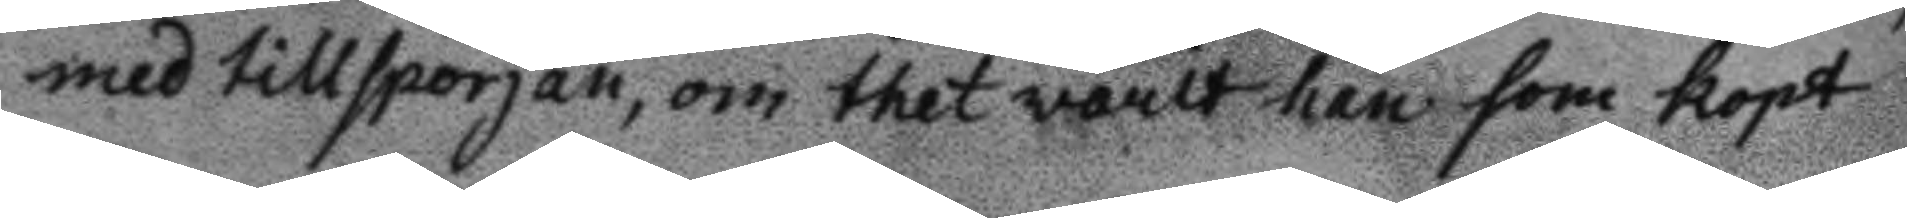med tillsporjan, om thet warit han som kopt
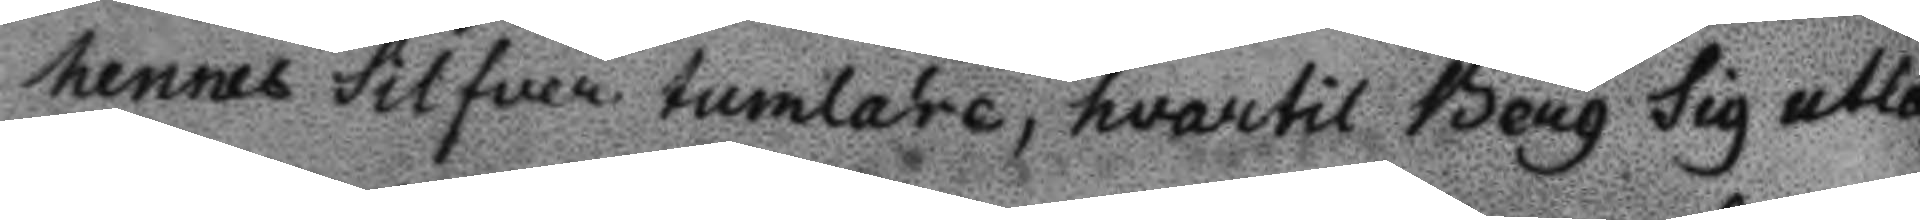hennes silfver tumlare, hwartill Berg sig utlå¬
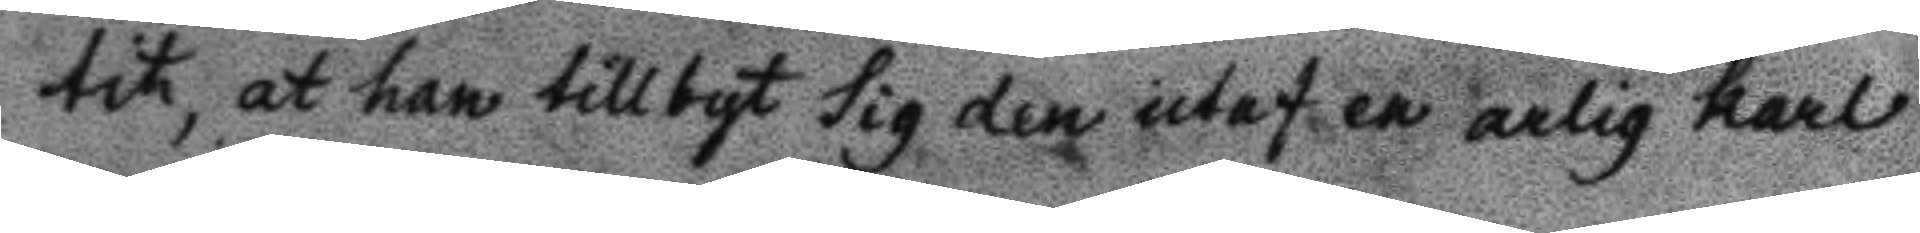tit, at han tillbyt sig den utaf en arlig karl
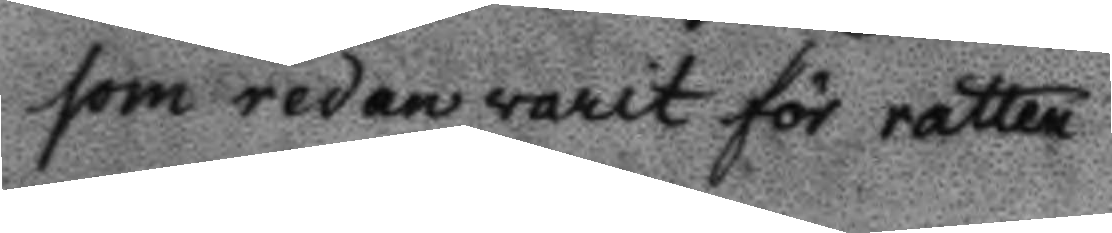som redan varit för rätten.
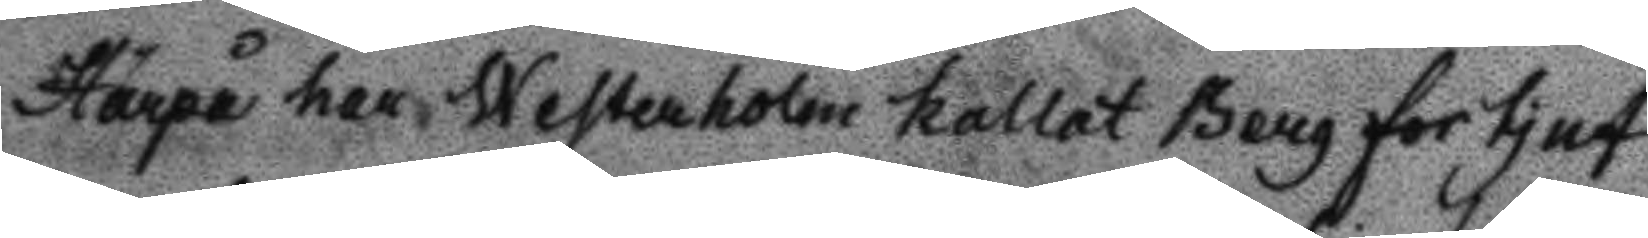Härpå har Westerholm kallt Berg för tjuf
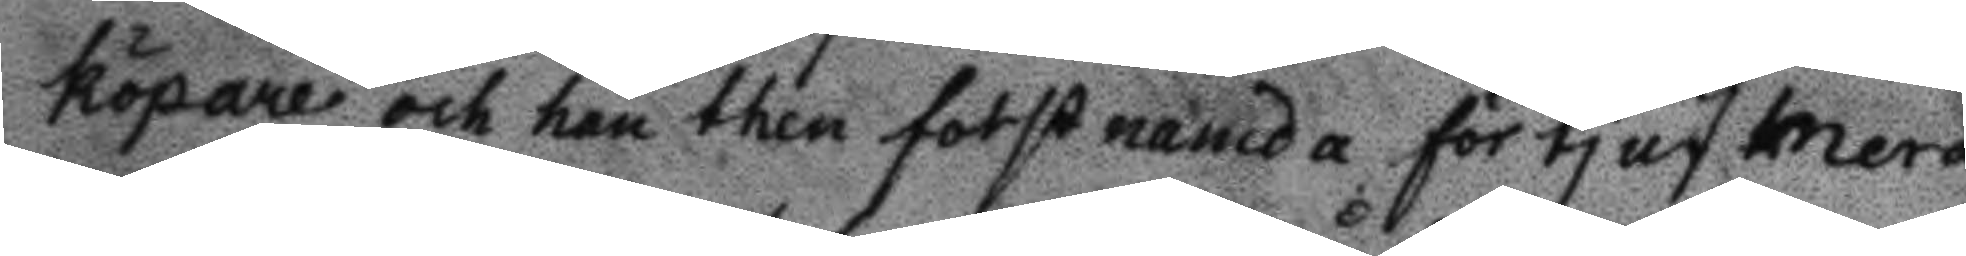köpare och han then forstnamda för tjuf mera
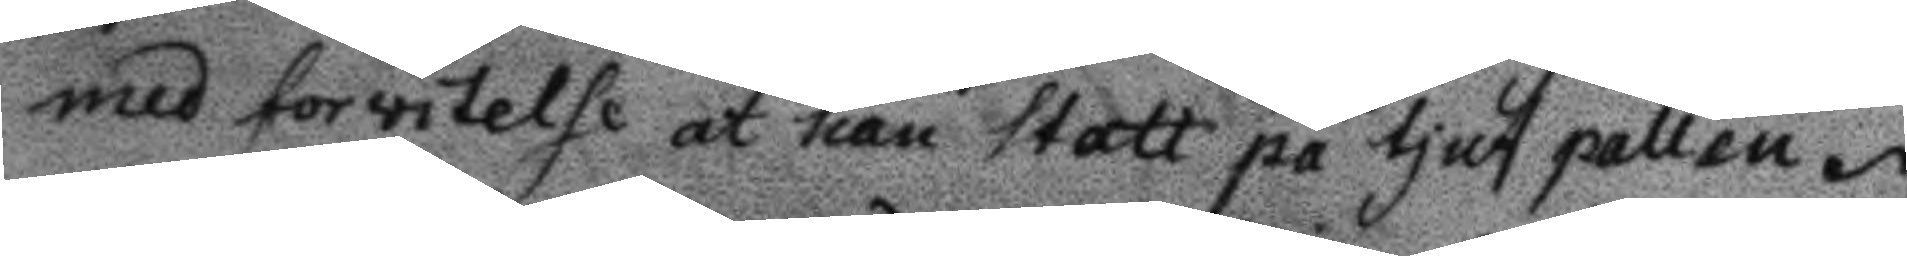med forvitelse at han statt på tjuf pallen.
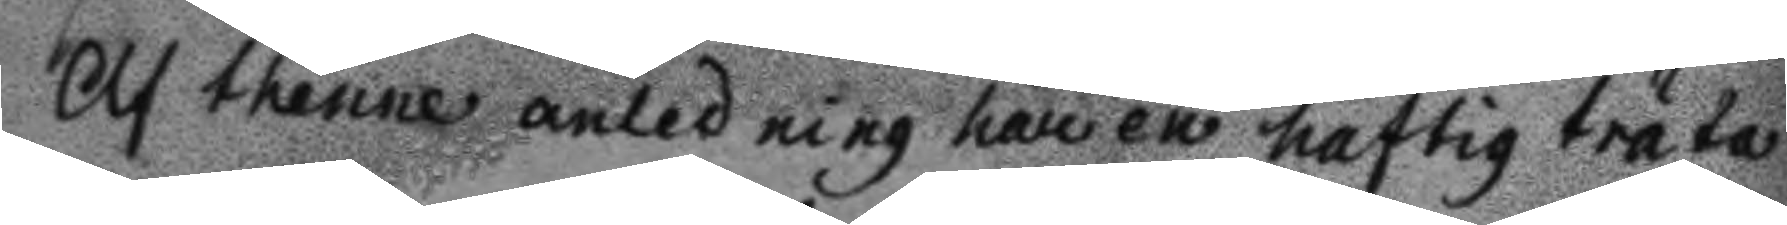Af thenne anledning har en haftig träta
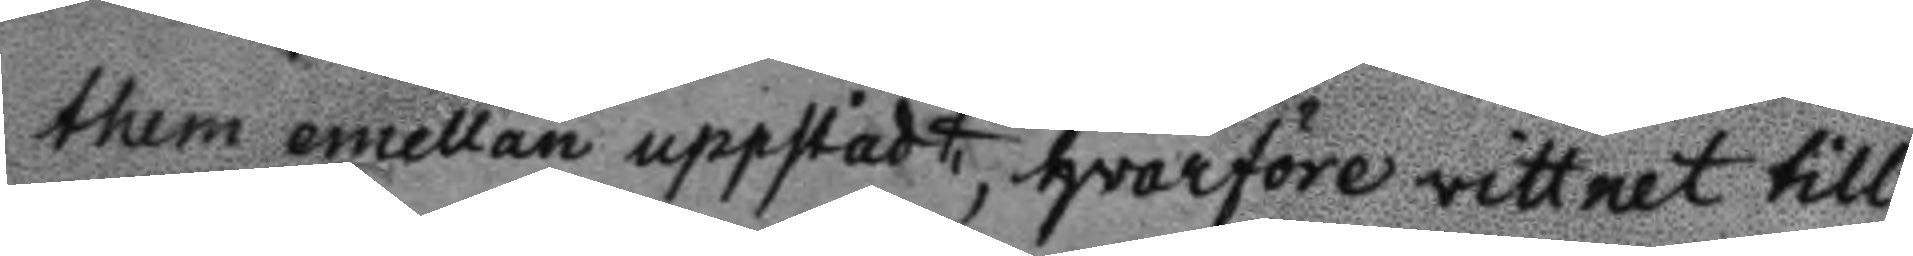them emellan uppstådt, hvarföre vittnet till
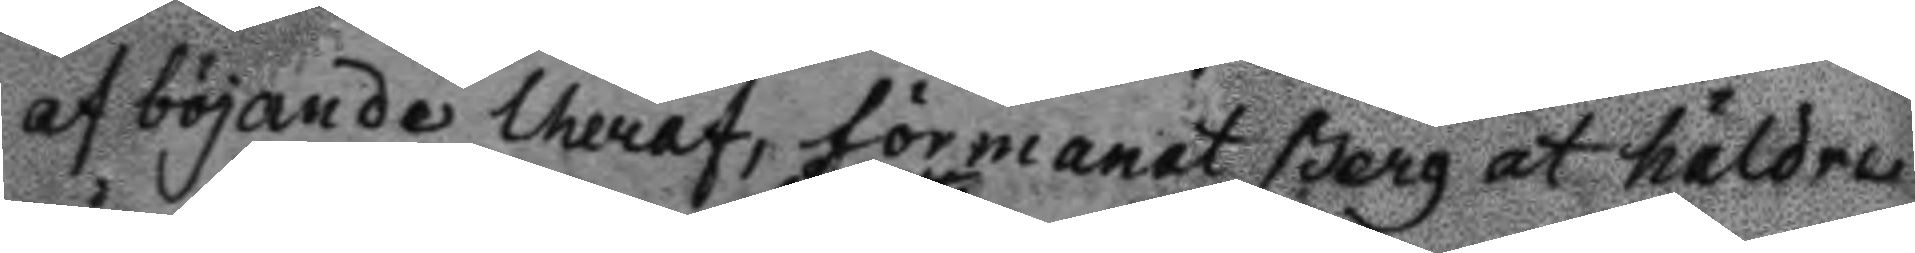af böjande theraf, förmanat Berg at jäldre
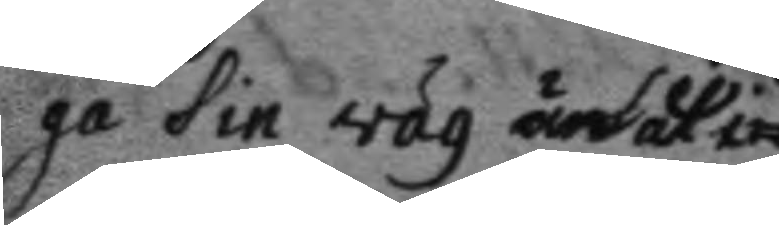gå sin väg än at i 
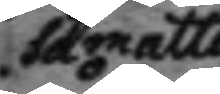så måtto
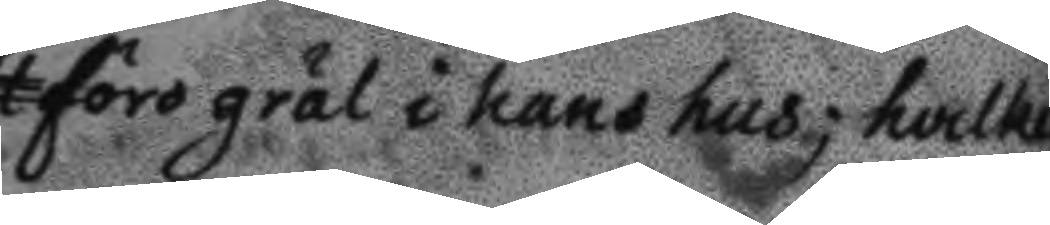föra gräl i hans hus; svilket 
